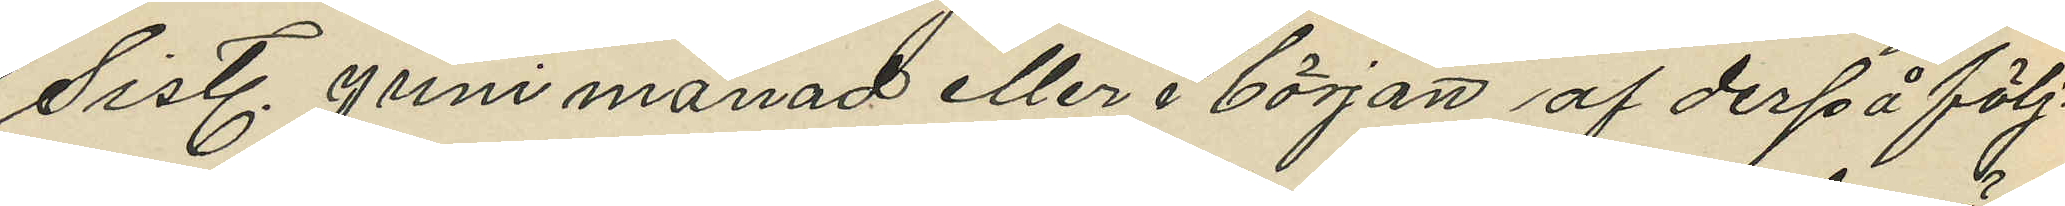sistl. Juni månad eller i början af derpå följ¬
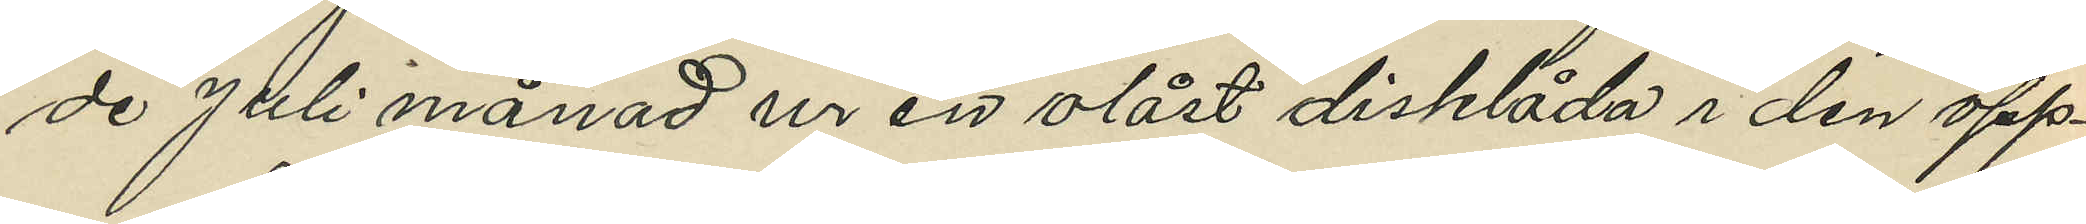de Juli månad ur en olåst disklåda i den öpp¬
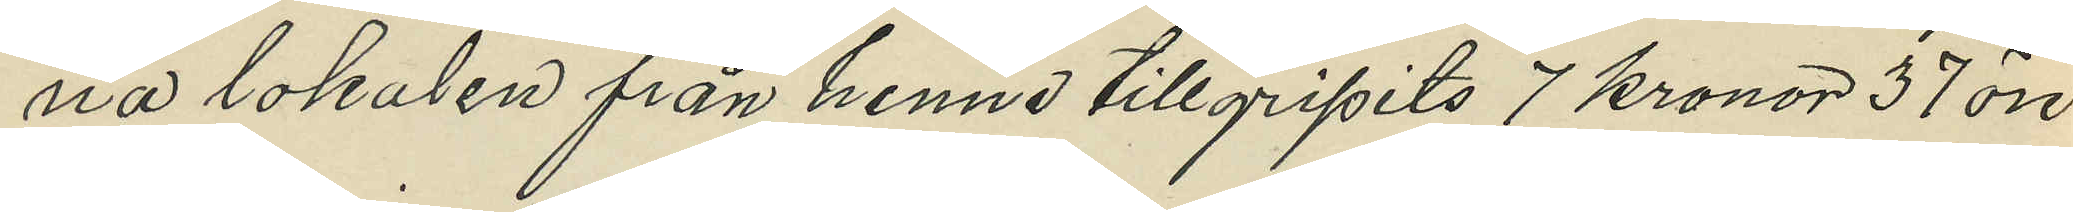na lokalen från henne tillgripits 7 kronor 37 öre
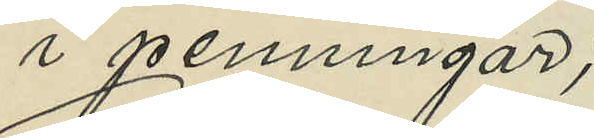i penningar;
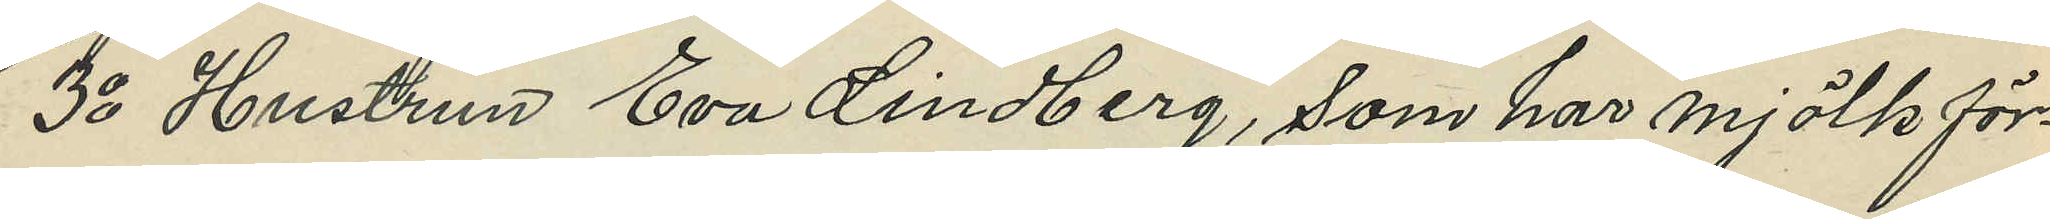3o Hustrun Eva Lindberg, som har mjölkför¬
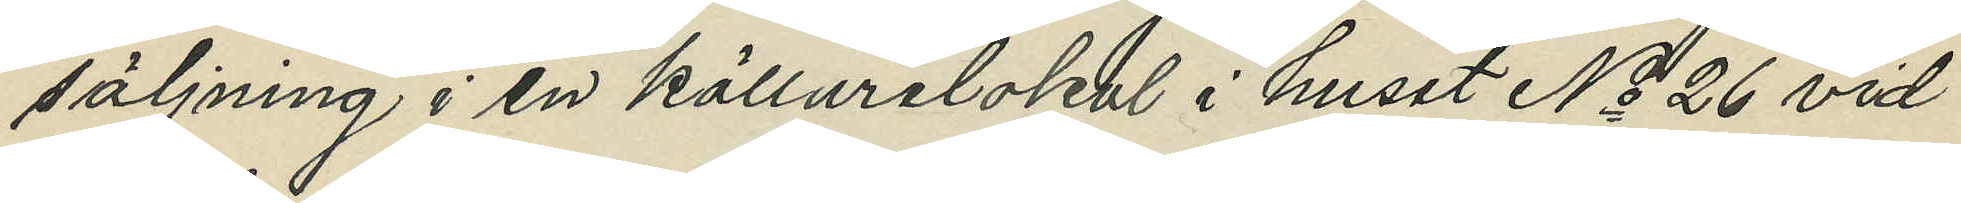säljning i en källarelokal i huset No 26 vid
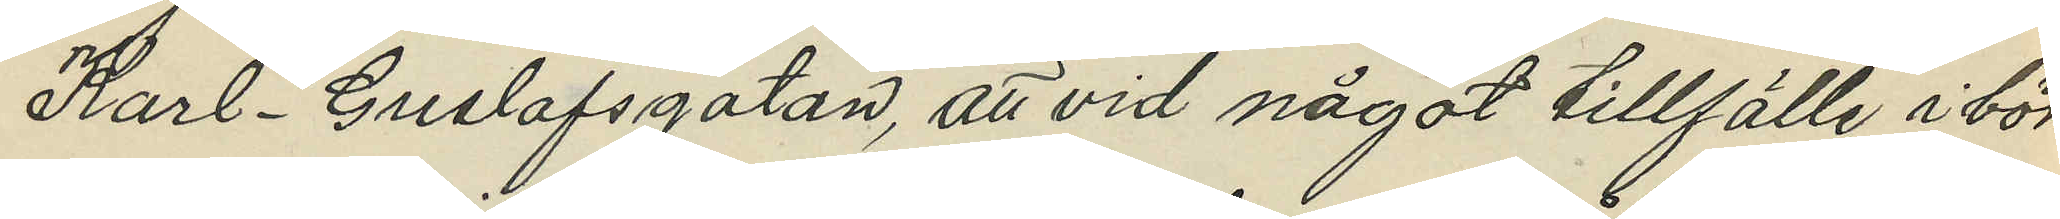Karl-Gustafsgatan, att vid något tillfälle i bör¬
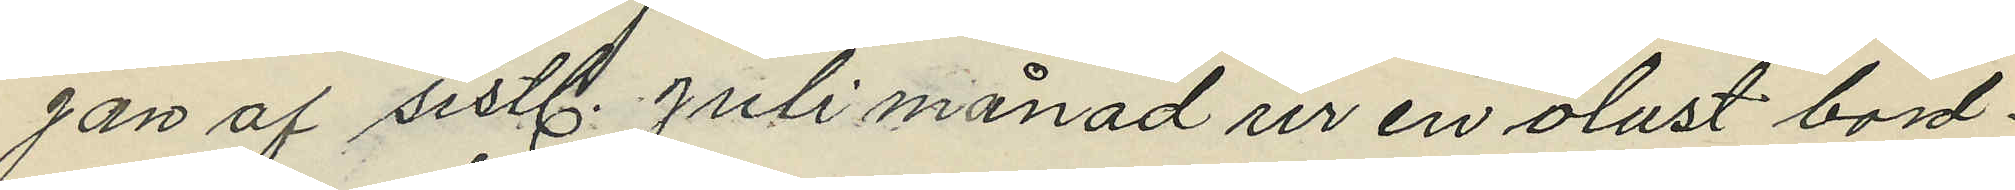gan af sistl. Juli månad ur en olåst bord¬
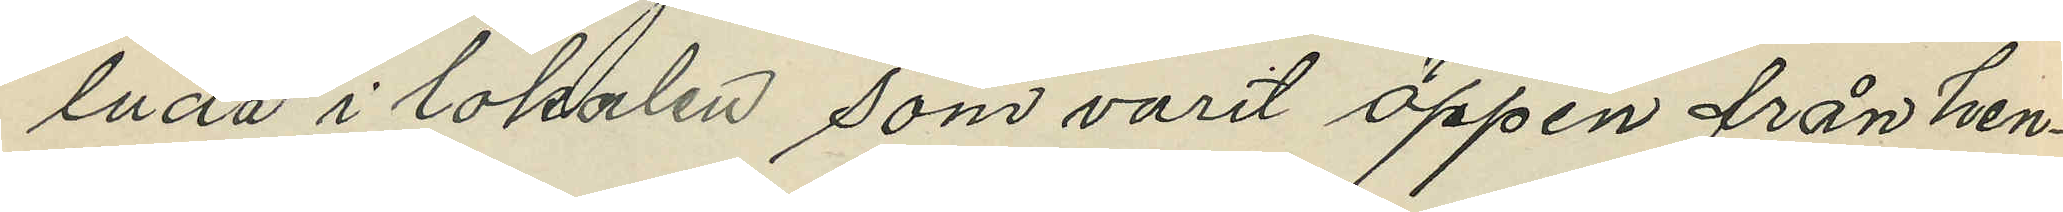lada i lokalen som varit öppen från hen¬
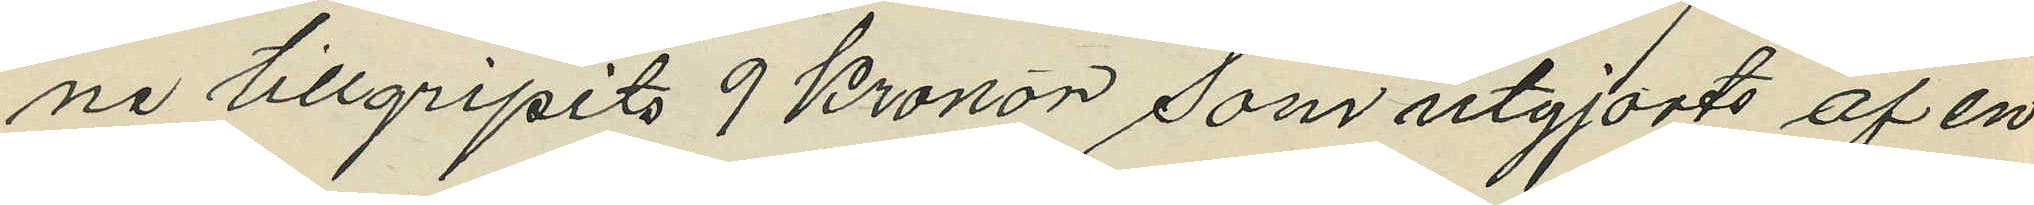ne tillgripits 9 kronor som utgjorts af en
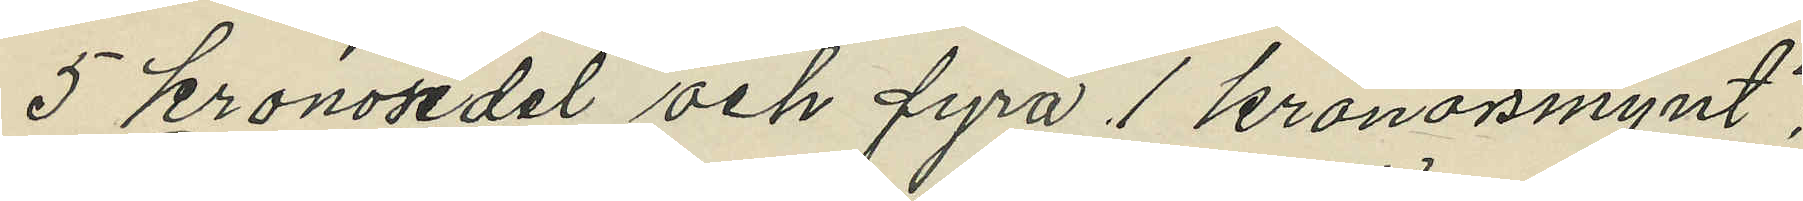5 kronosedel och fyra 1 kronorsmynt;
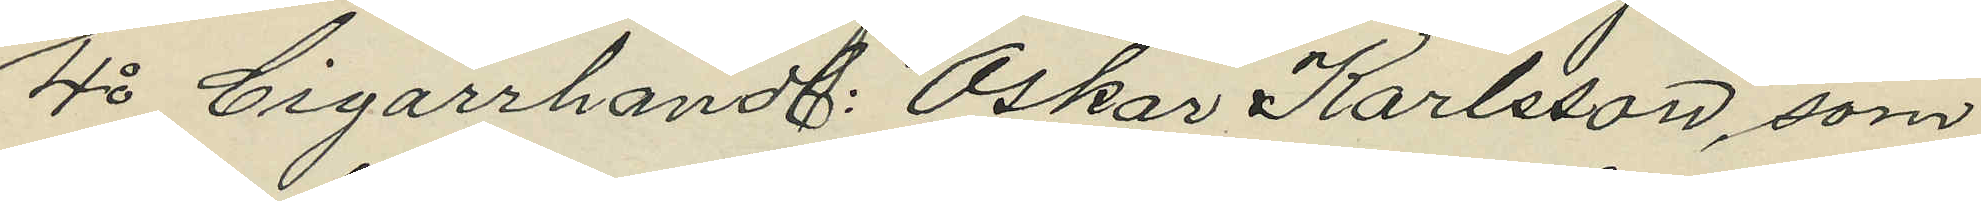4o Cigarrhandl. Oskar Karlsson, som
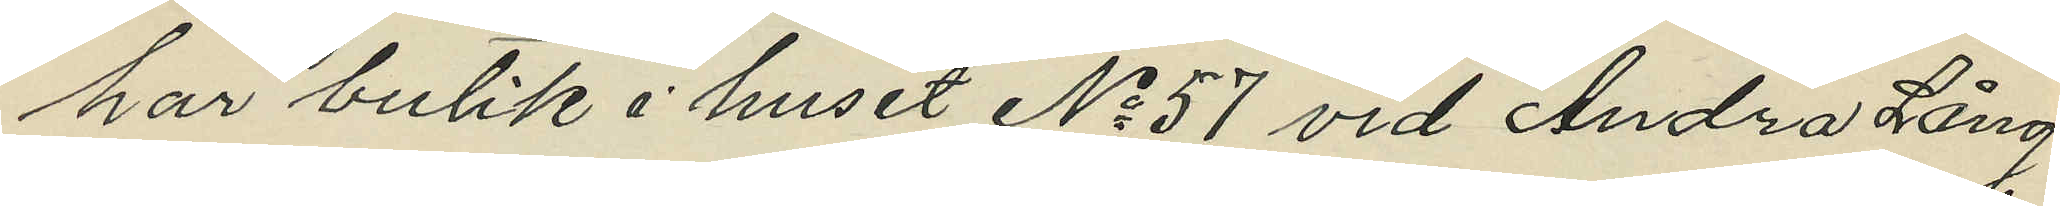har butik i huset No 57 vid Andra Lång
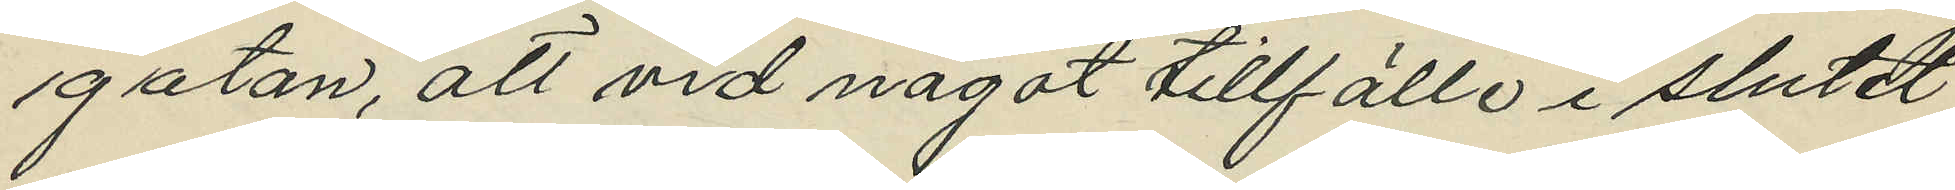gatan, att vid något tillfälle i slutet
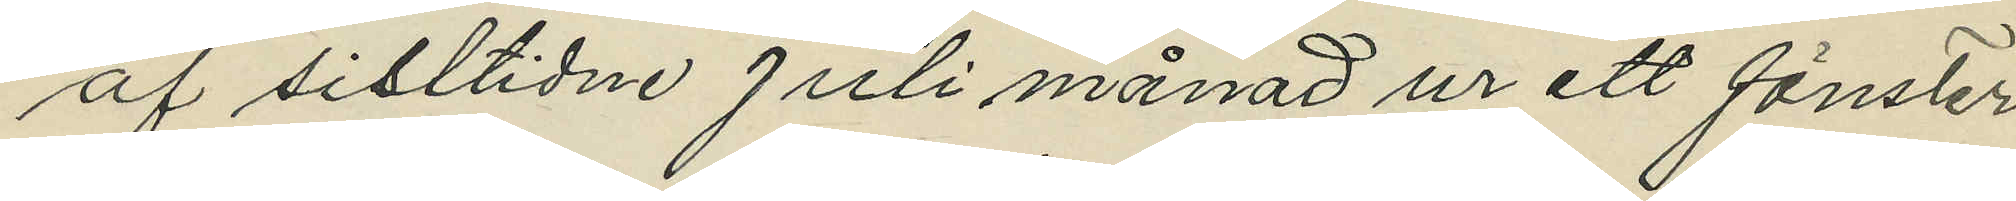af sisltidne Juli månad ur ett fönster
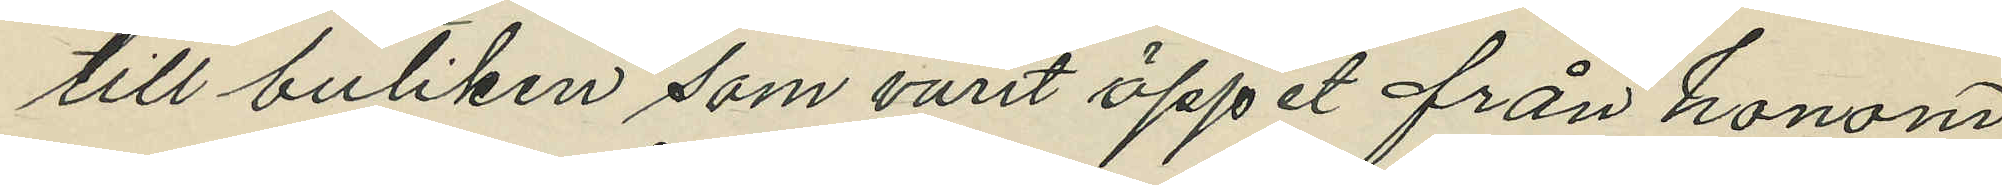till butiken som varit öppet från honom
